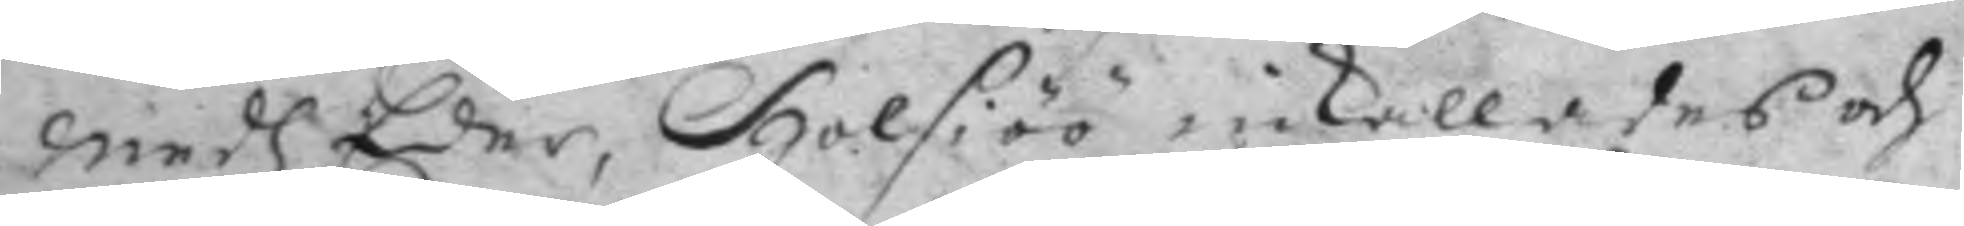Medh Eder, Holsiöö inkallades och
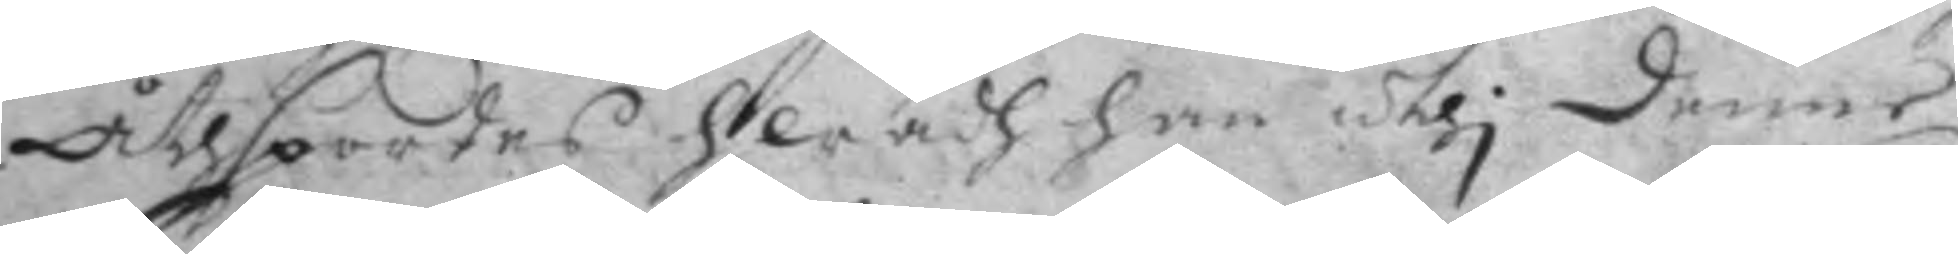åthspordes hwadh han uthi denne
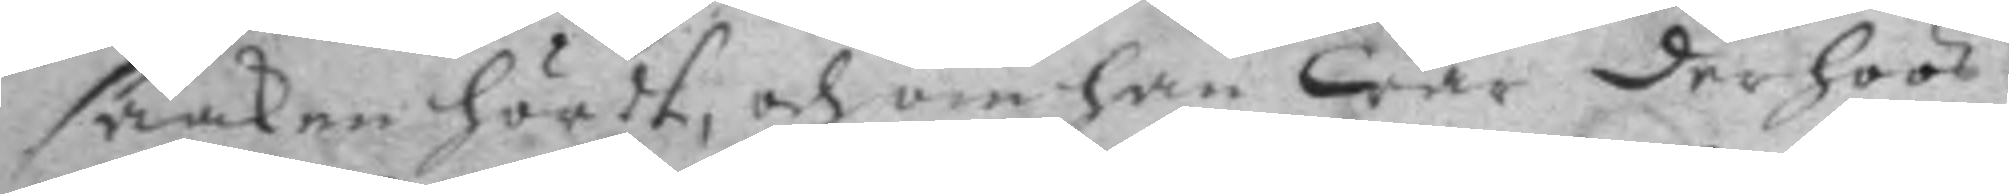saaken hördt, och om han war der hoos
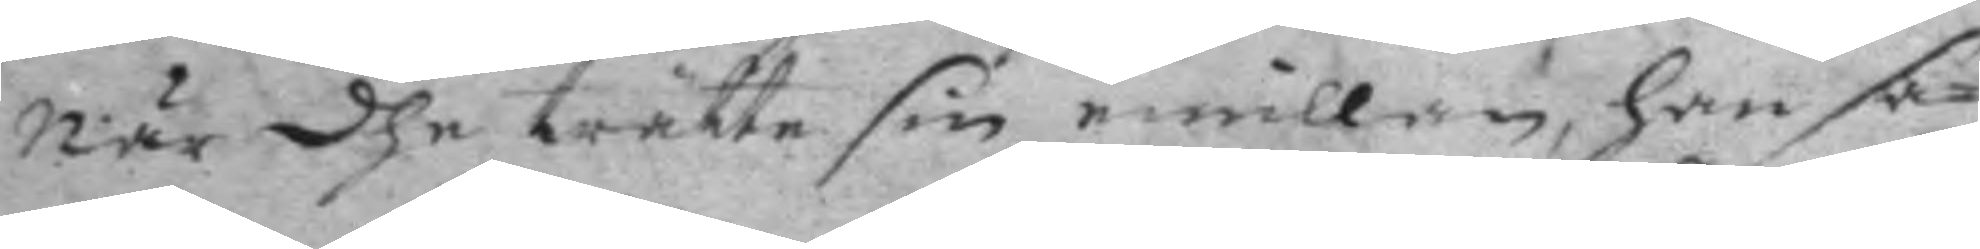när dhe trätte sin emillan, han sa¬
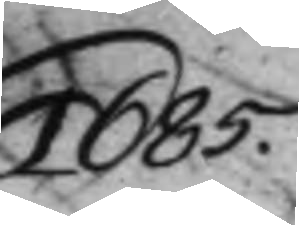1685
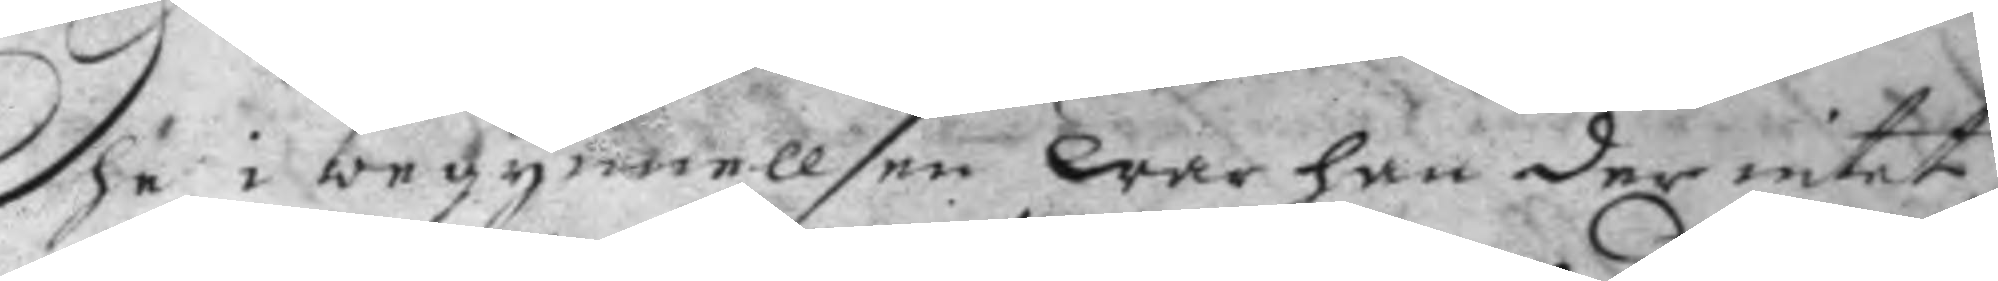Dhe i begynnellsen War han der intet,
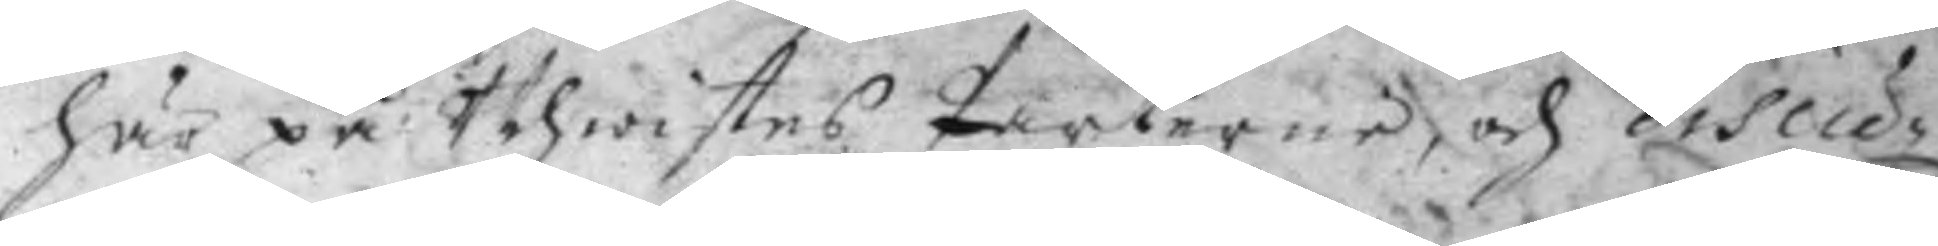här på Uhwistes Parterne och discu¬
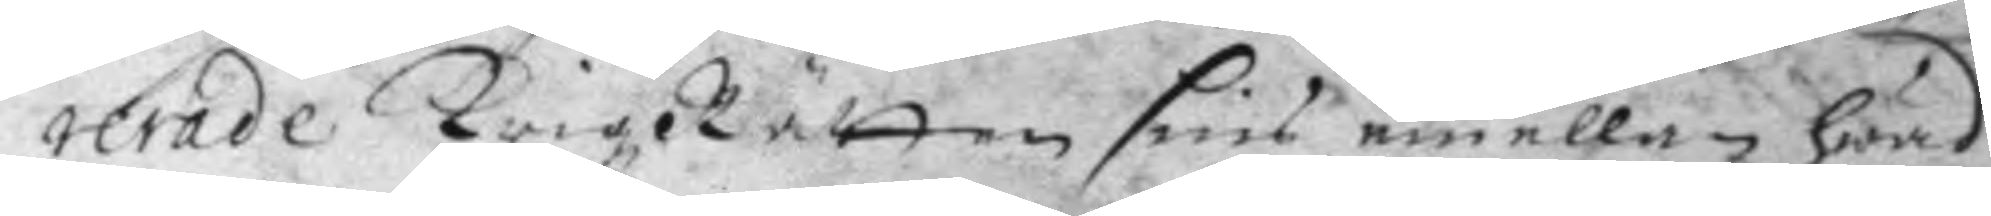rerade KrigzRätten sins emellan hwad
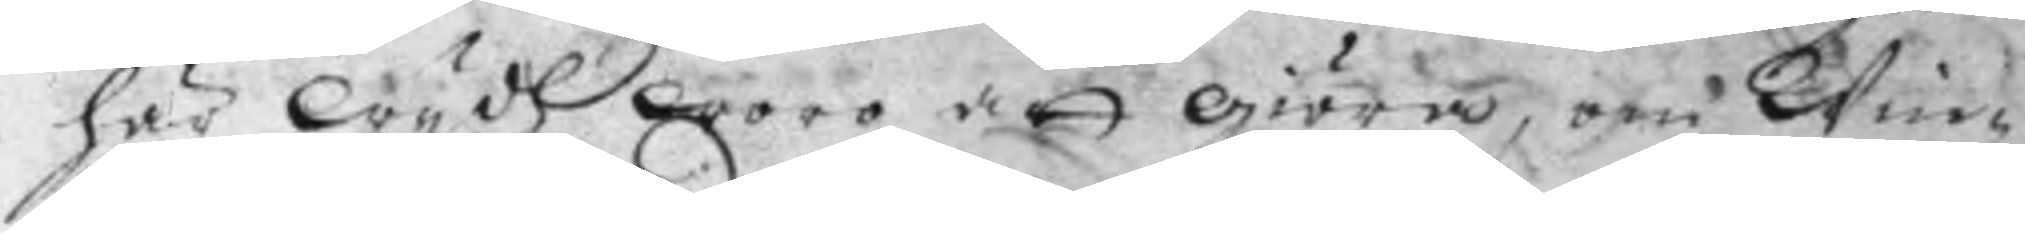här Wydh woro att giöra, om Win¬
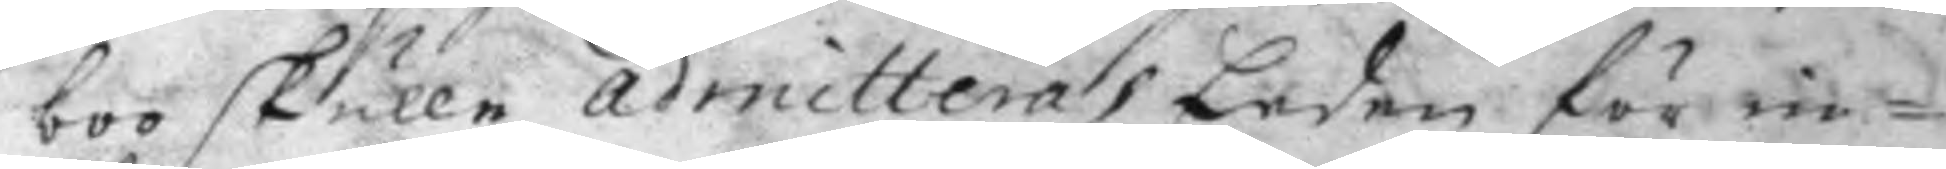boo skulle admitteras Eeden: för in¬
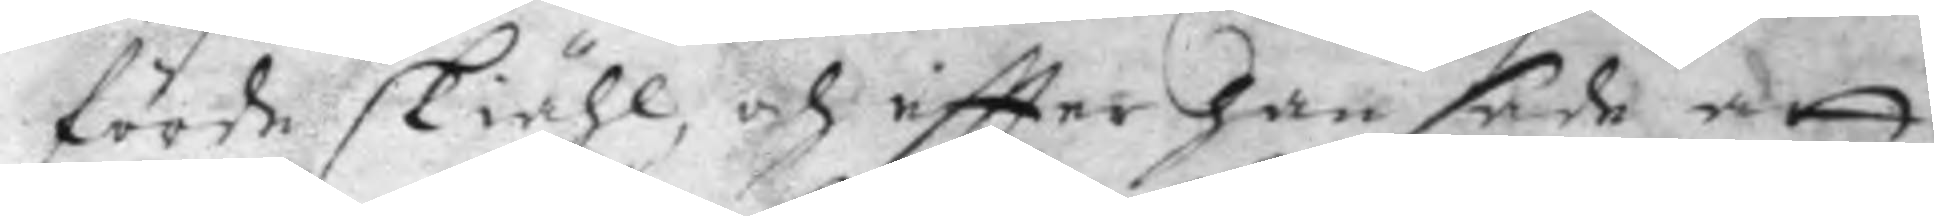förde skiähl, och eftter han sade att
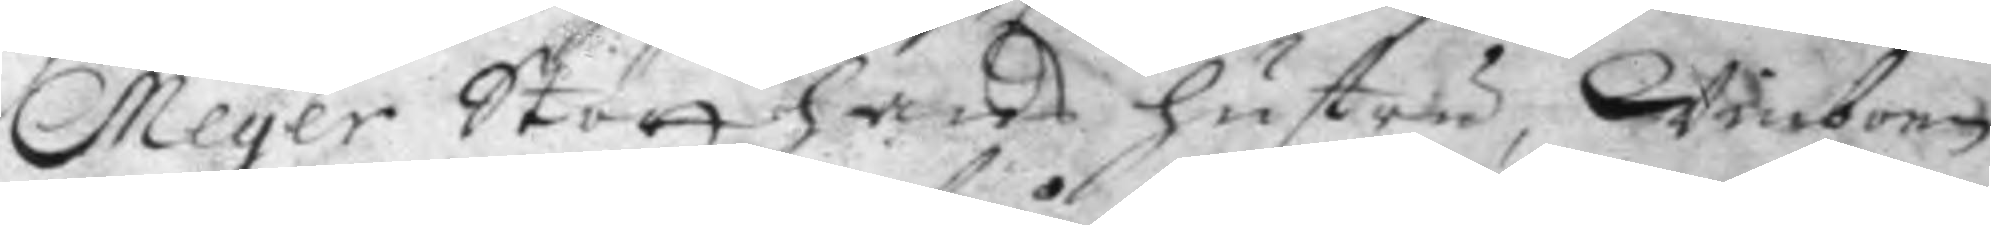Meyer Stött hans hustru, Winborg
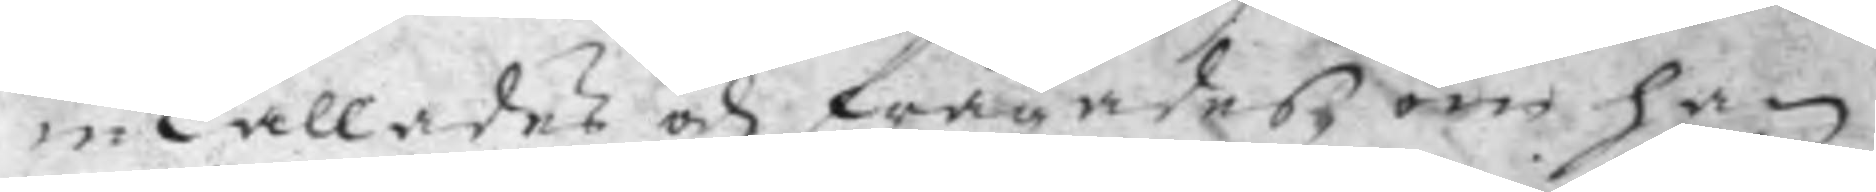inkallades och frågades om han
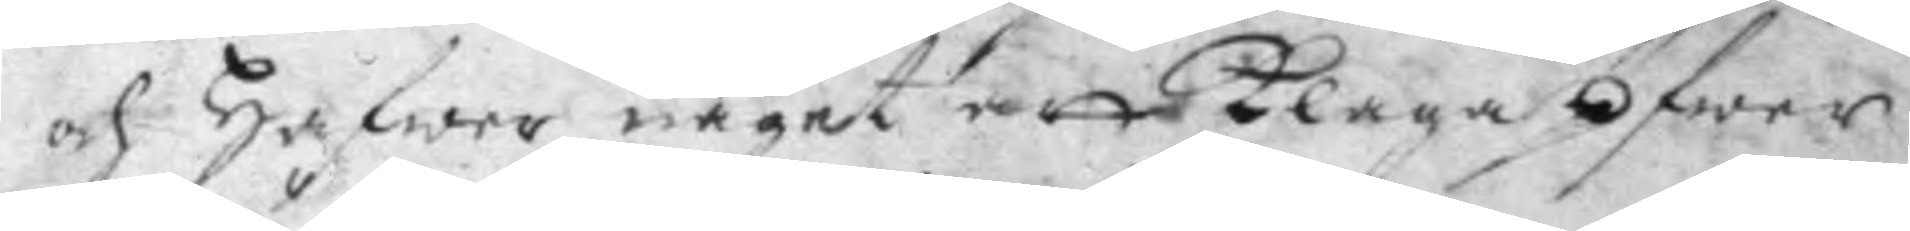och hafwer något att klaga öfwer
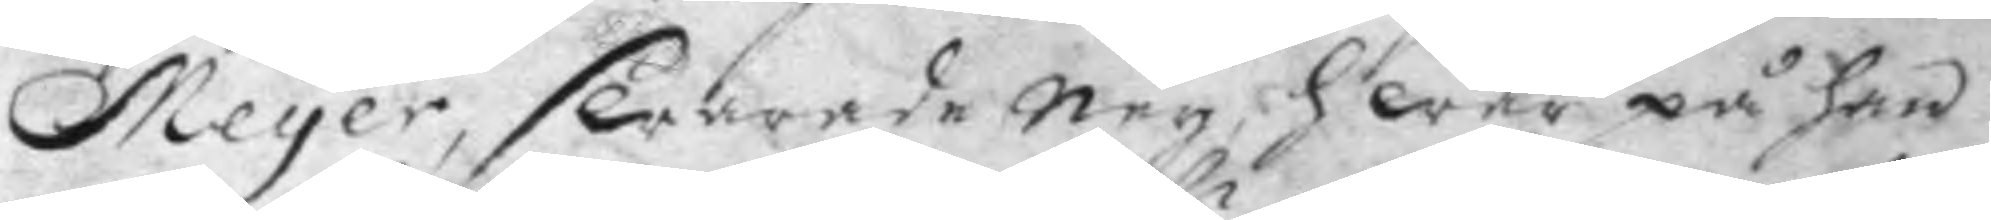Meyer, swarade Ney, hwar på han
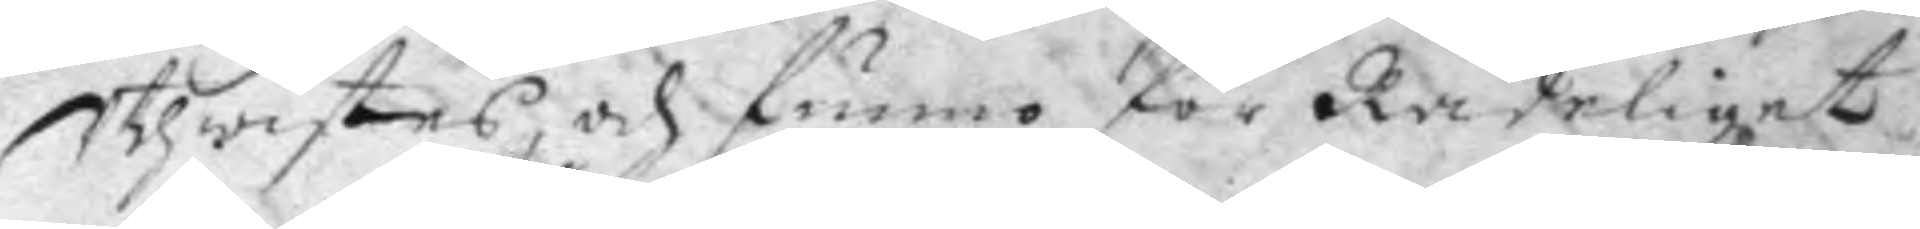Uthwistes och funno för Rådeliget
